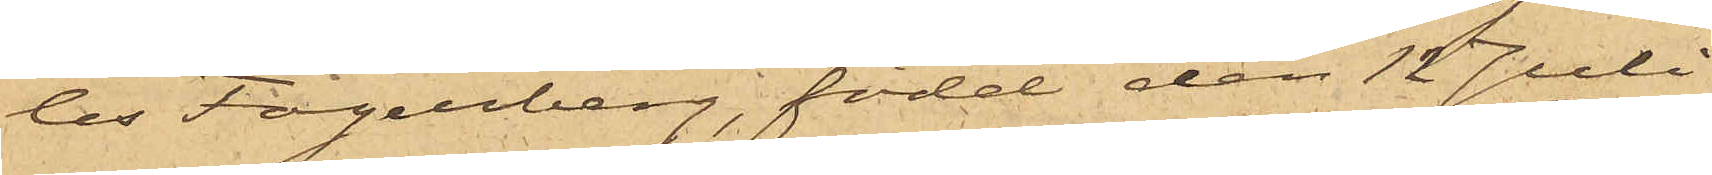les Fogelberg, född den 12 Juli
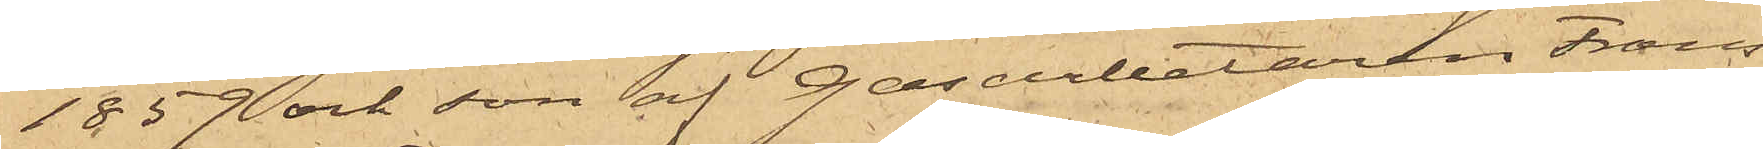1859 och son af Gasarbetaren Frans
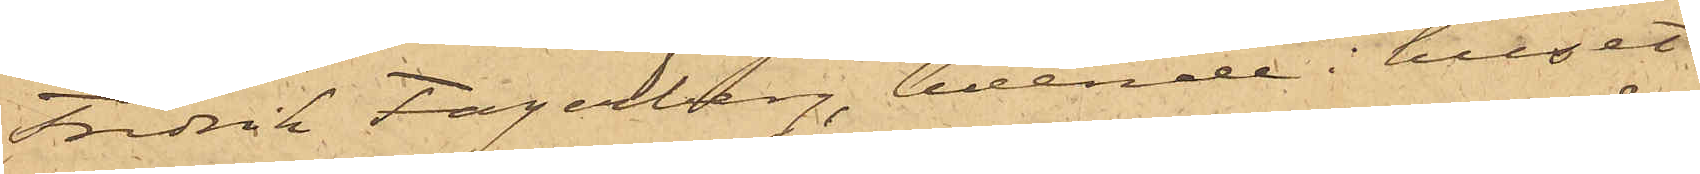Fredrik Fagerberg, boende i huset
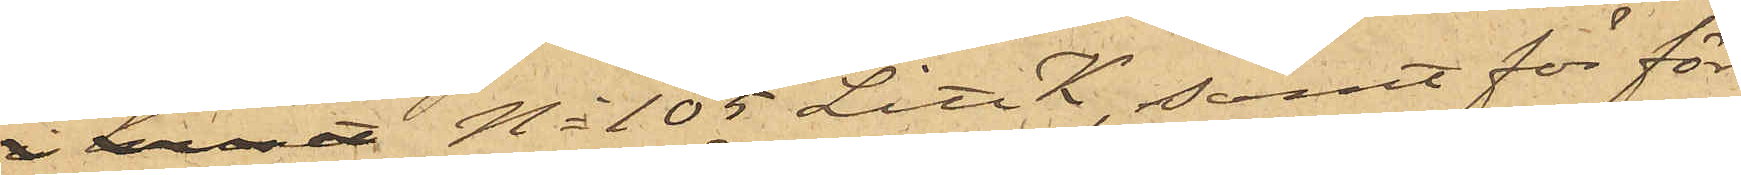i huset No 105 Litt K, samt för för¬
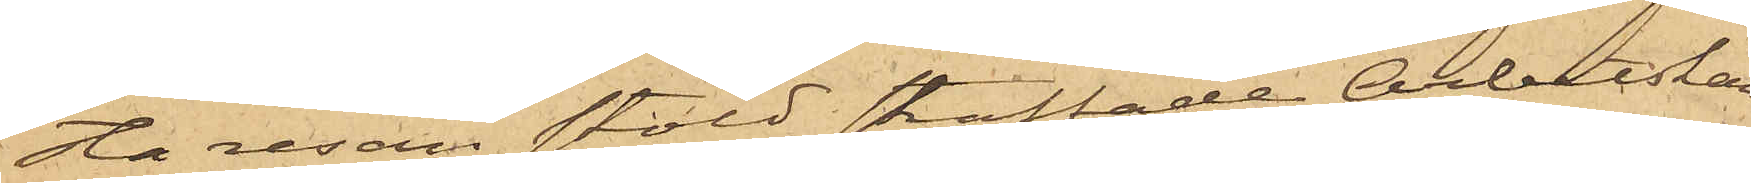sta resan stöld straffade Arbetskar¬
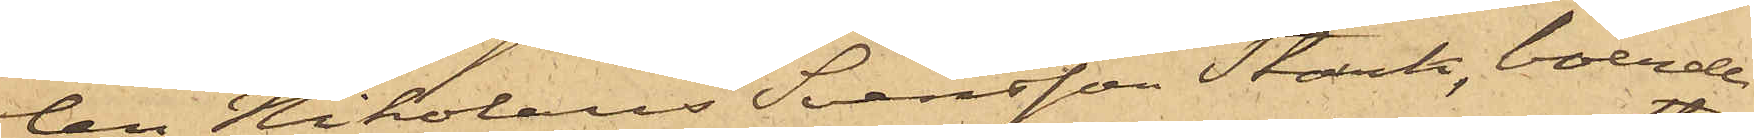ten Nikolaus Svensson Stark, boende
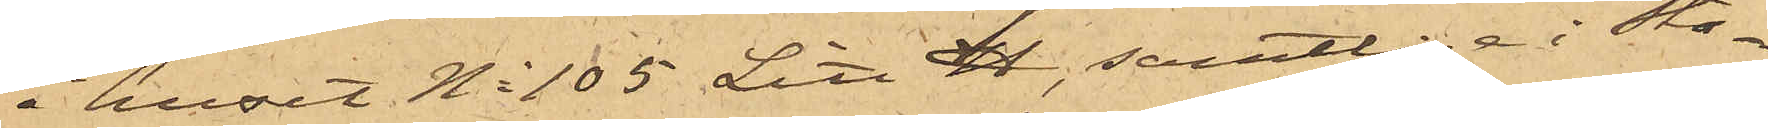i huset No 105 Litt H, samtlige i Sta¬
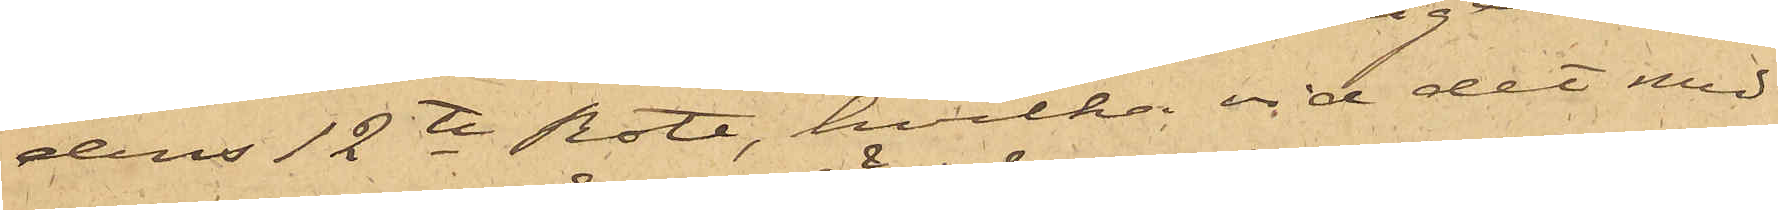dens 12te Rote, hvilka vid det med
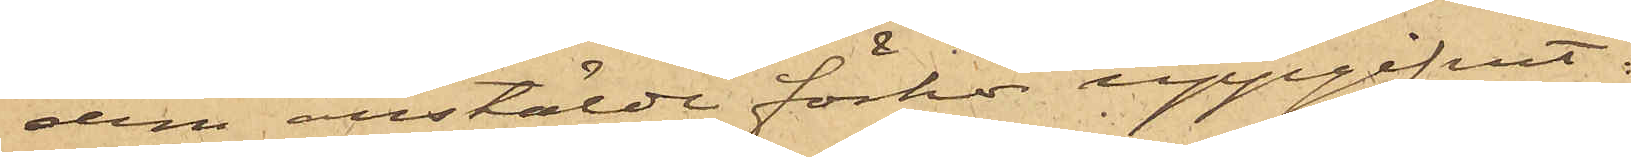dem anstälde förhör uppgifvit:
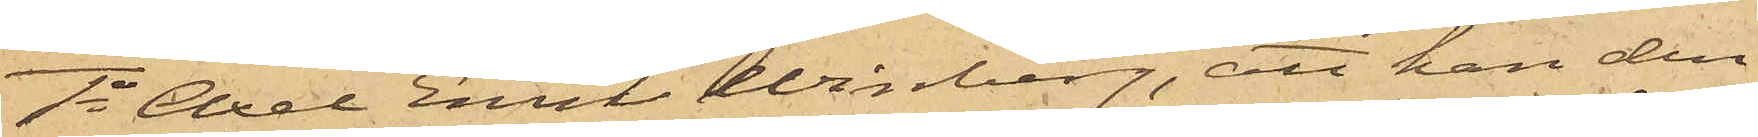1o Axel Emil Winberg, att han den
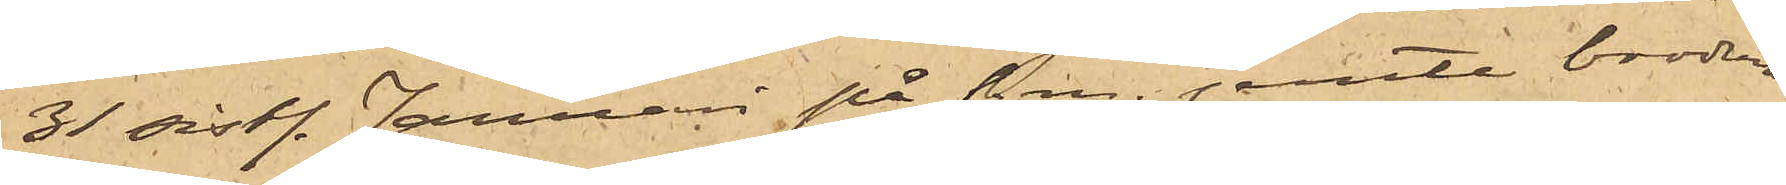31 sistl. Januari på f. m. jemte brodern
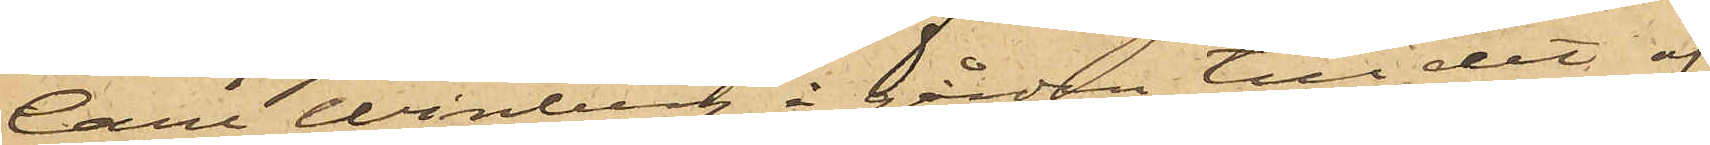Carl Winberg å gården till det af
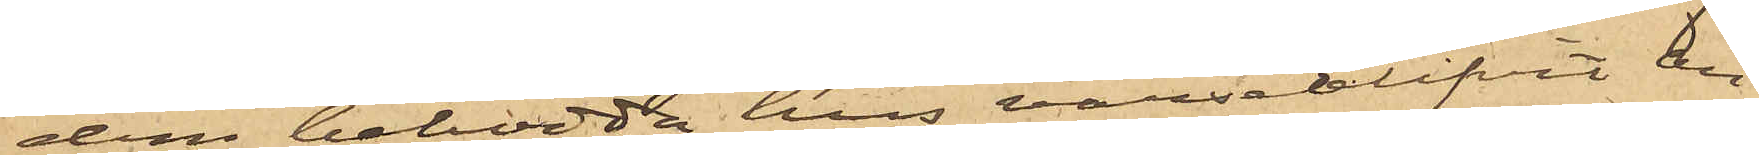dem bebodda hus varseblifvit An¬
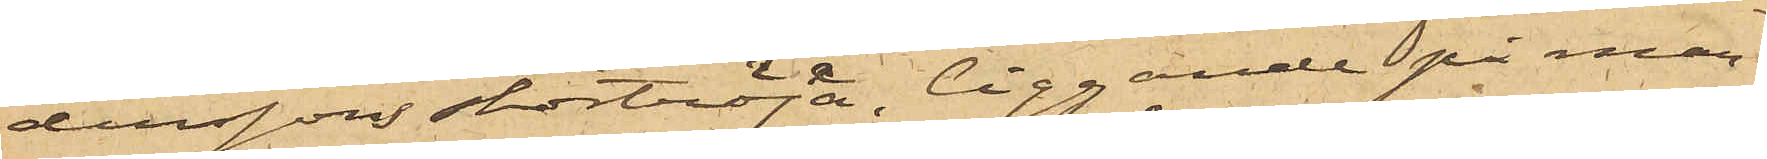derssons stortröja liggande på mar¬
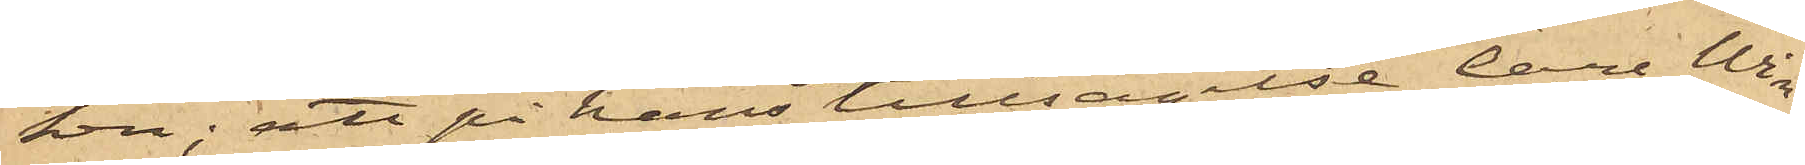ken; att på hans tillsägelse Carl Win¬
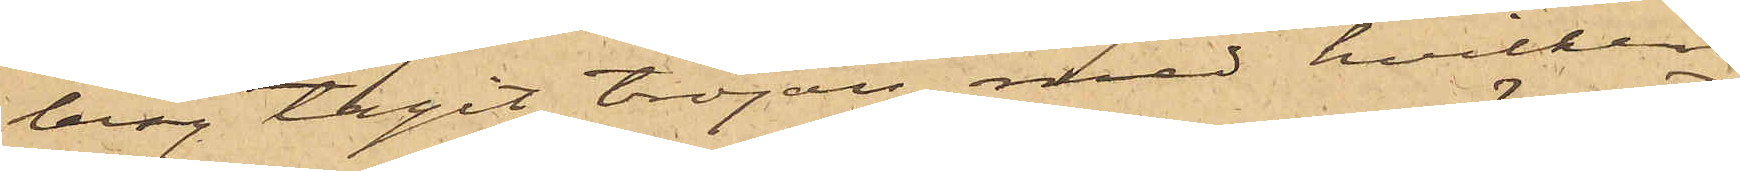berg tagit tröjan, med hvilken
